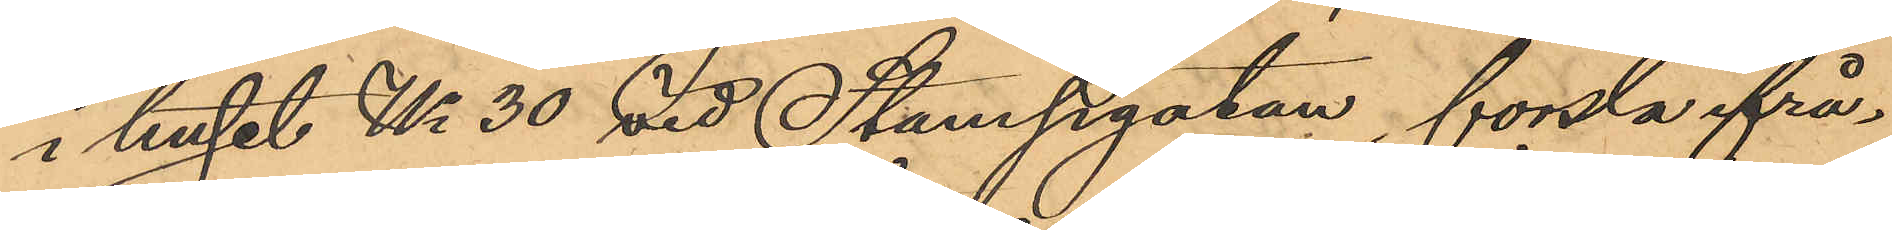i huset No 30 vid Stampgatan, forsla ifrå¬
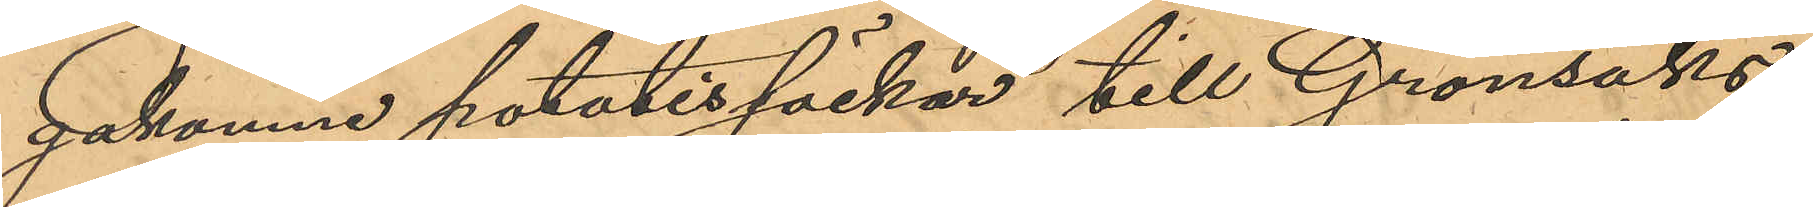gakomne potatissäckar till Grönsaks¬
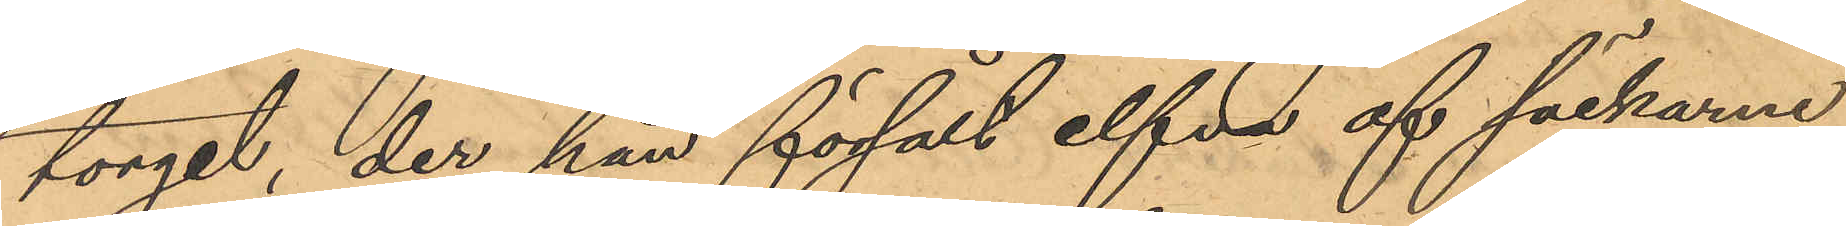torget, der han försålt elfva af säckarne
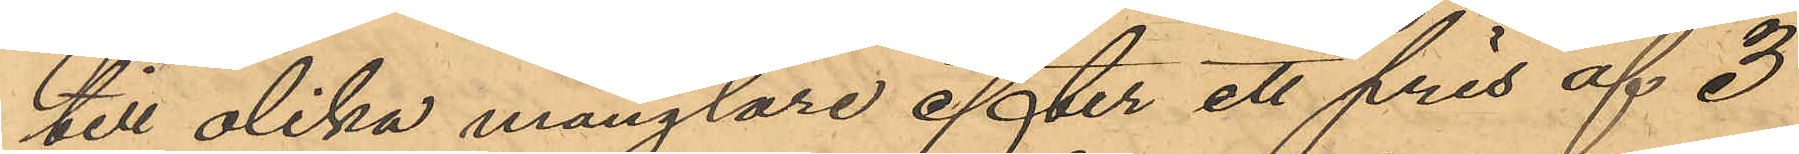till olika månglare efter ett pris af 3
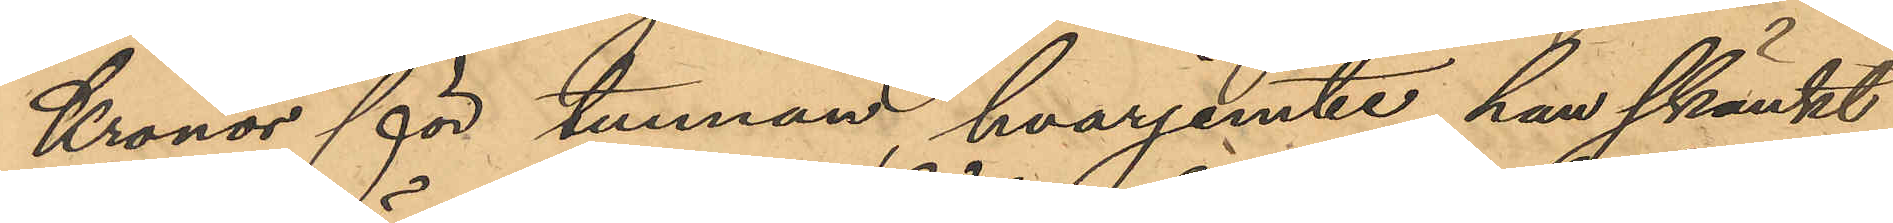Kronor för tunnan, hvarjemte han skänkt
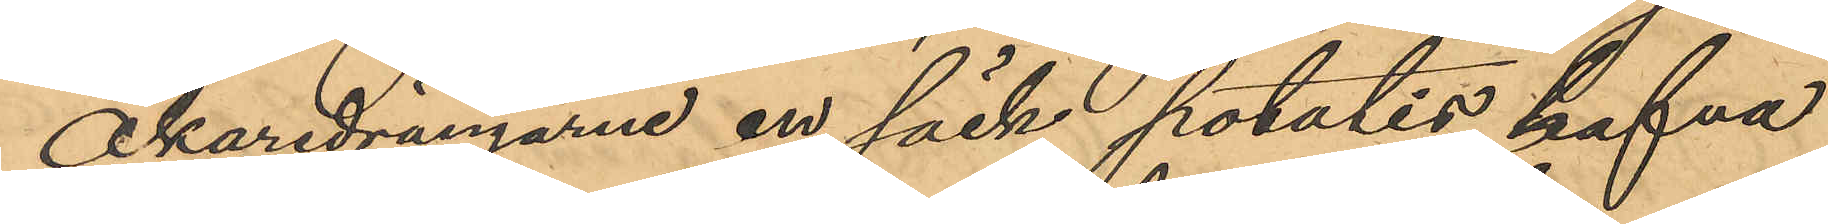Åkaredrängarne en säck potatis, hafva
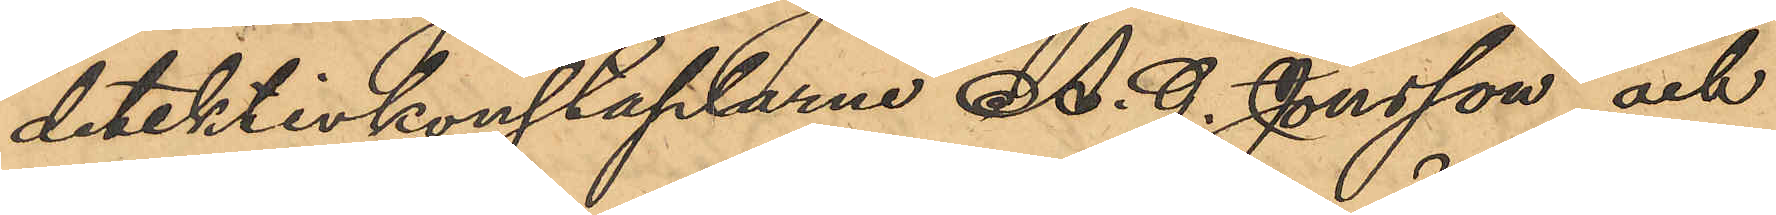detektivkonstaplarne A. G. Jonsson och
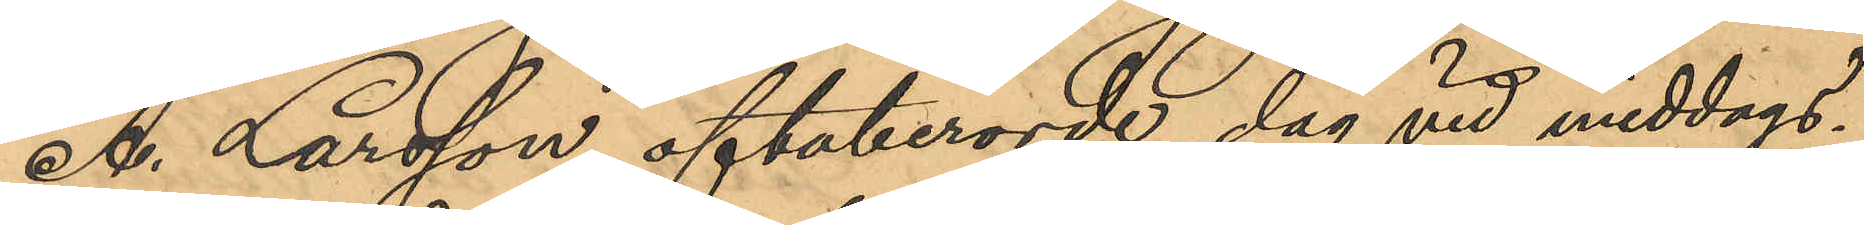A. Larsson oftaberörde dag vid middags¬
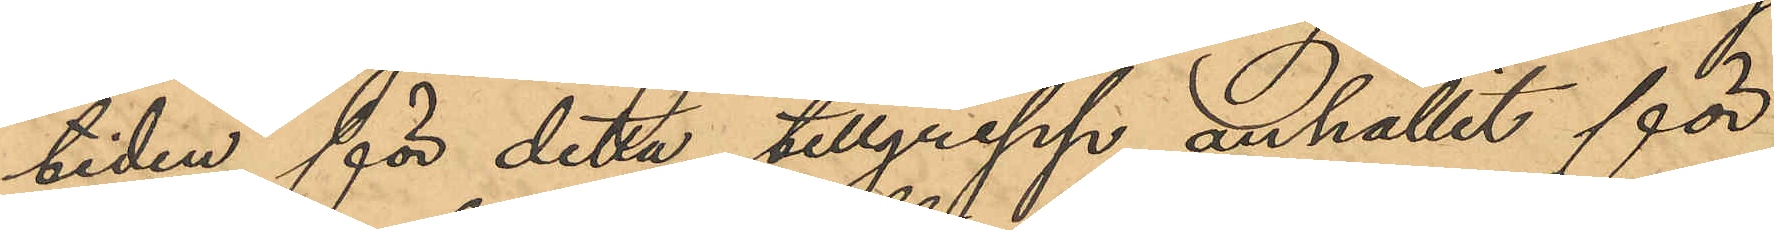tiden för detta tillgrepp anhållit för
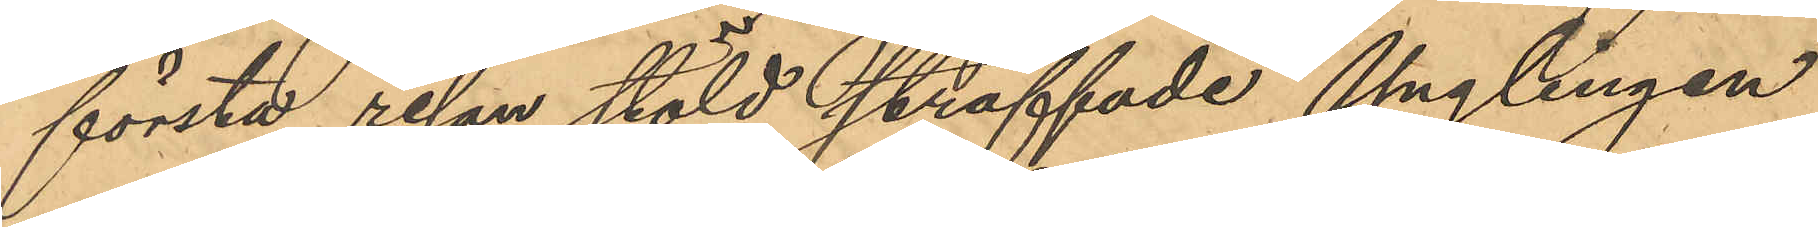första resan stöld straffade Ynglingen
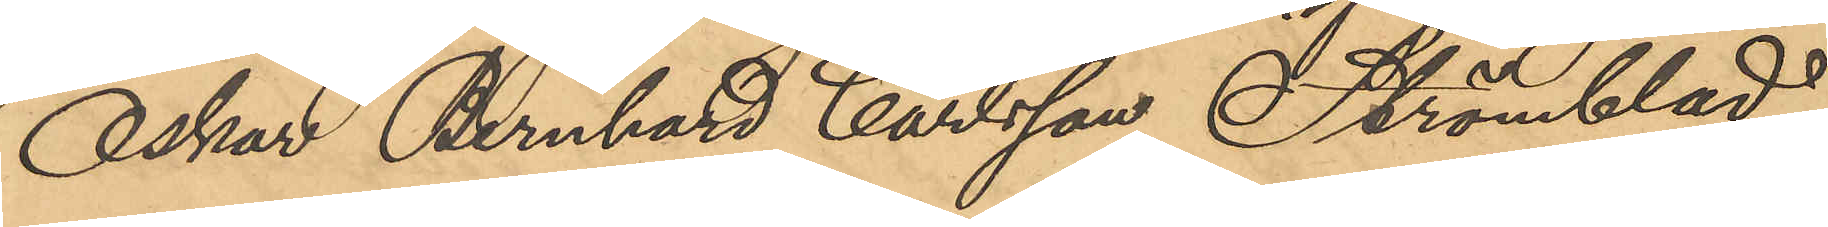Oskar Bernhard Carlsson Strömblad
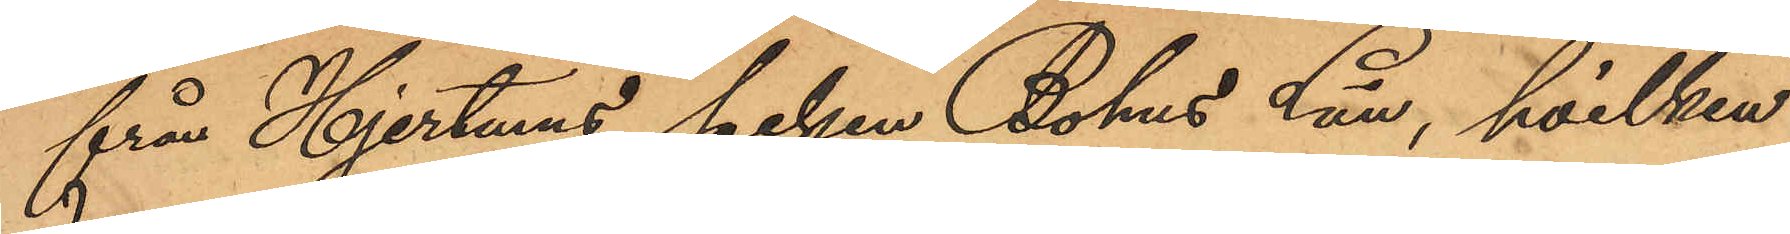från Hjertums socken Bohus Län, hvilken
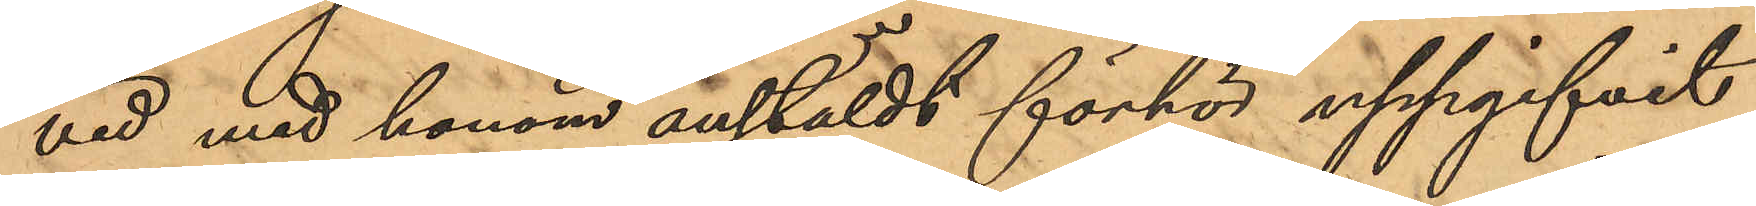vid med honom anstäldt förhör uppgifvit
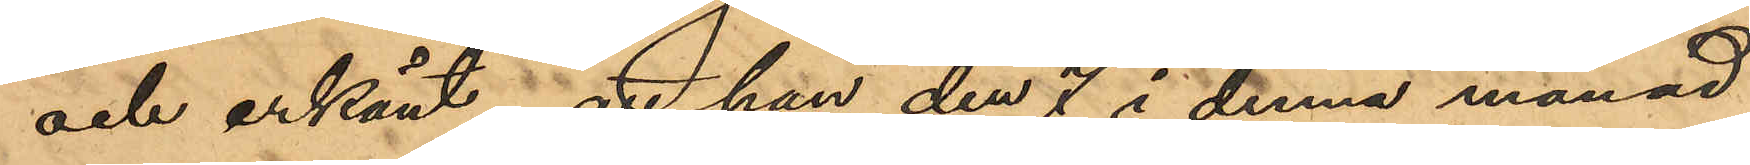och erkänt, att han den 7 i denna månad
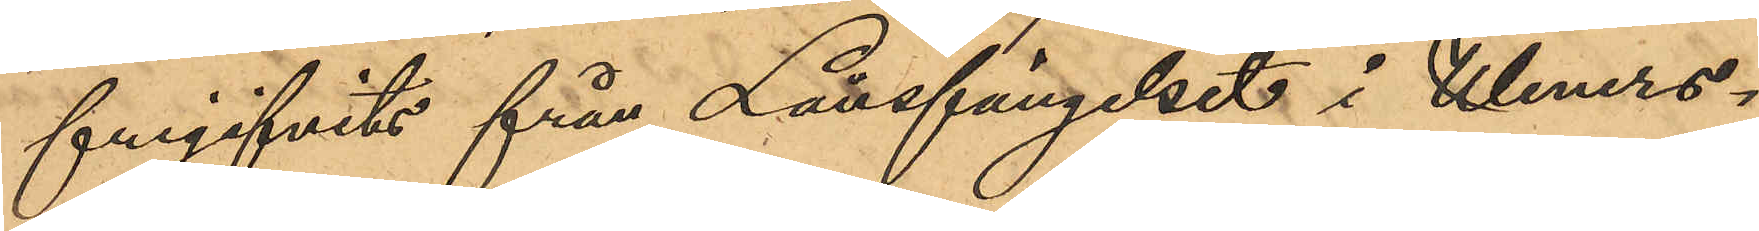frigifvits från Länsfängelset i Weners¬
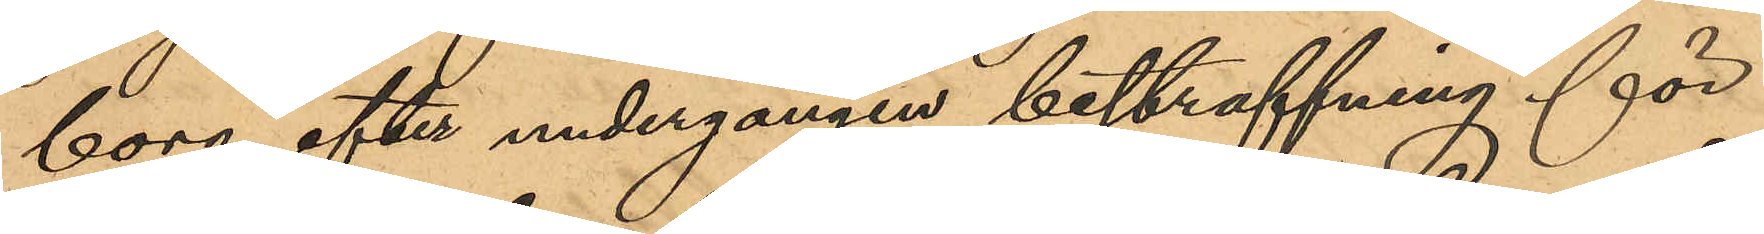borg efter undergången bestraffning för
